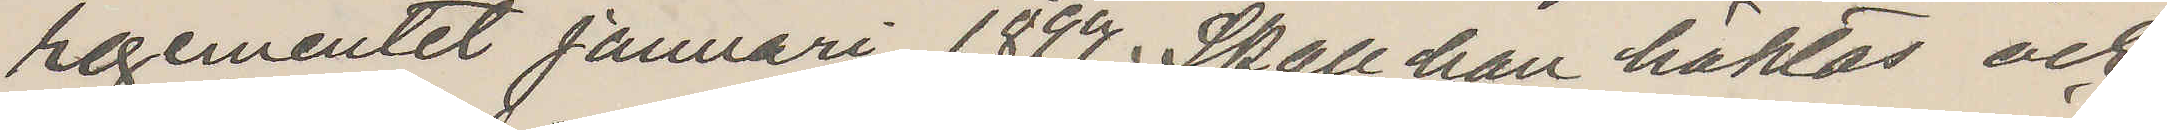regementet januari 1899. Skall han häktas och
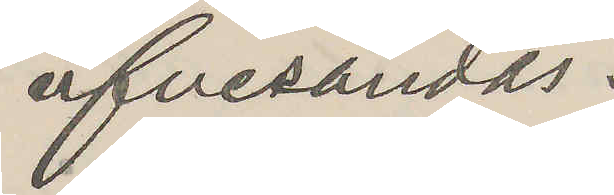öfvesändas.
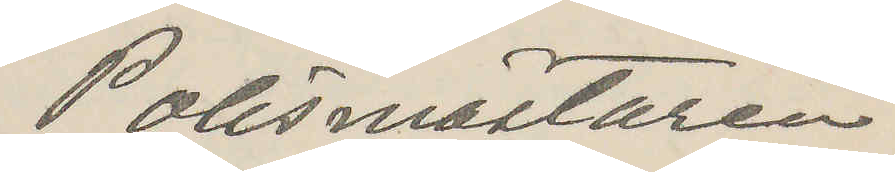Polismästaren
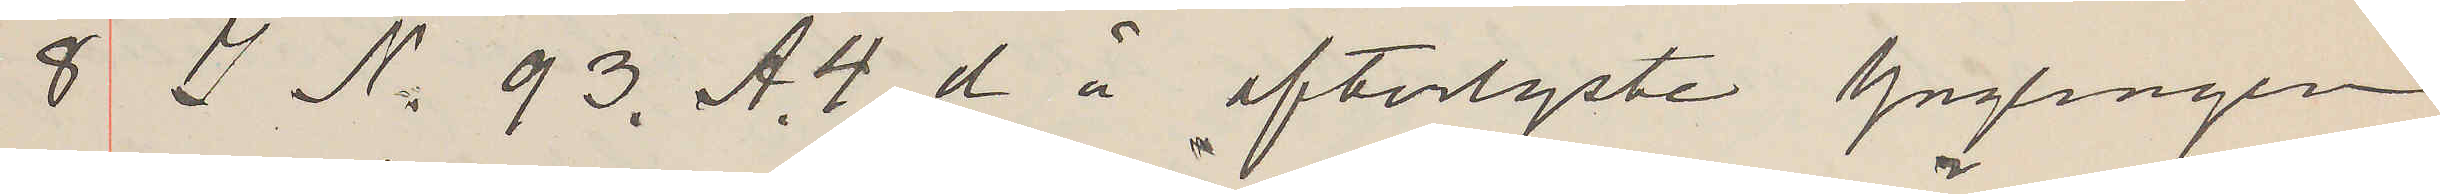8 I N 93. A.4. d å efterlyste Ynglingen
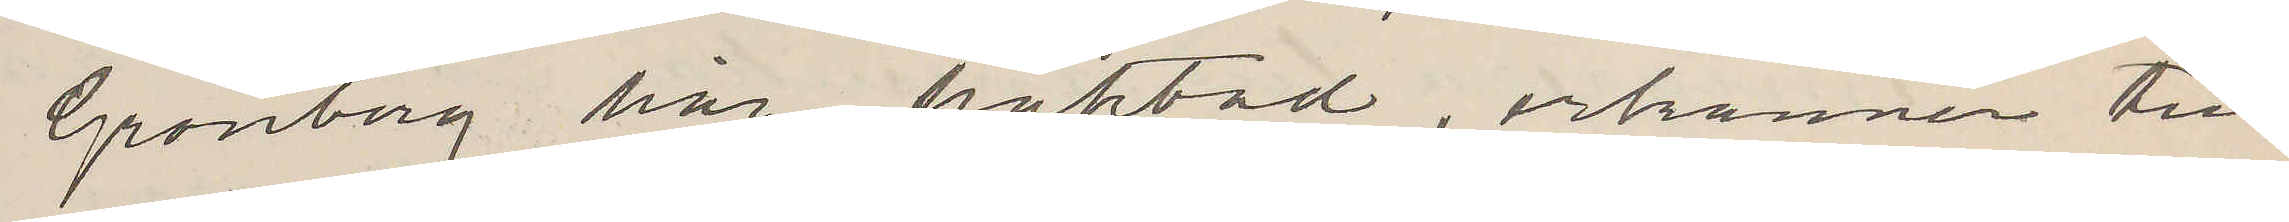Grönberg här häktad, erkänner till¬
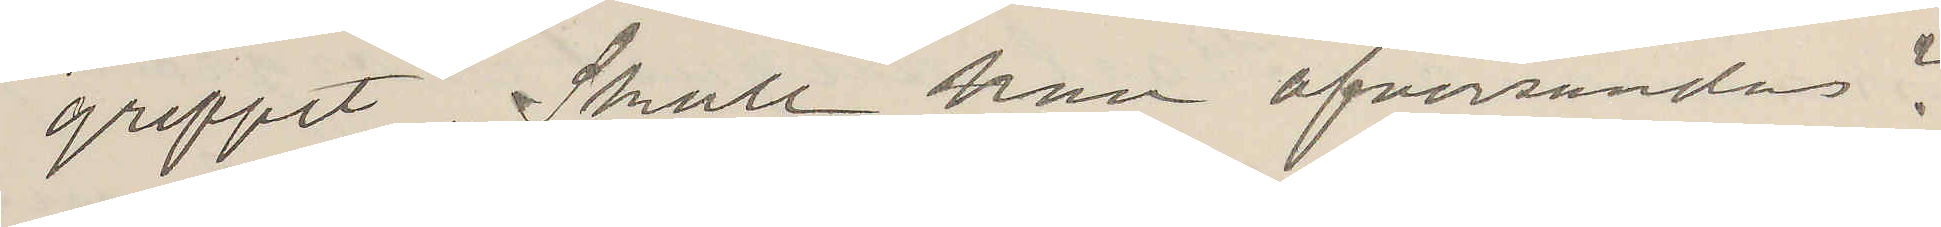greppet. Skall han öfversändas?
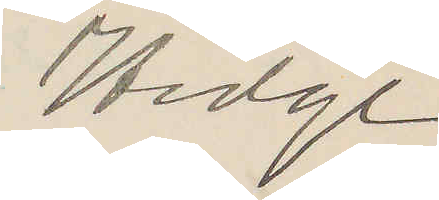Hedge.
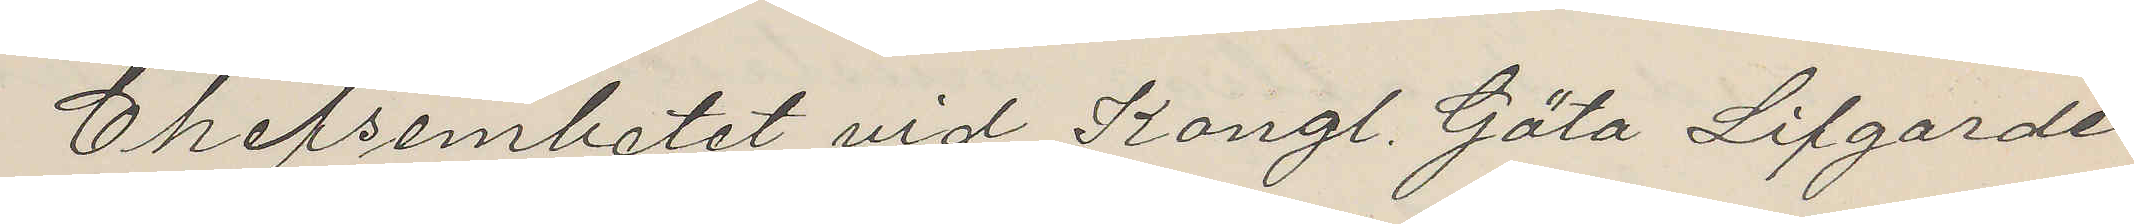Chefsembetet vid Kongl. Göta Lifgarde
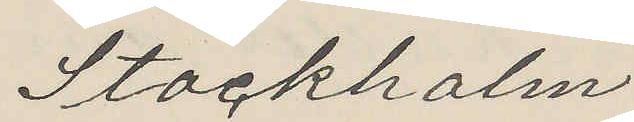Stockholm
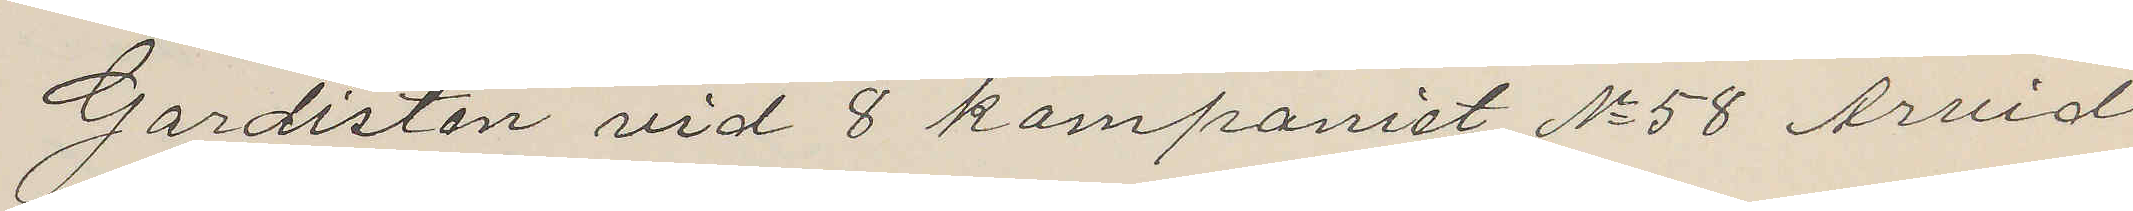Gardisten vid 8 kompaniet No 58 Arvid
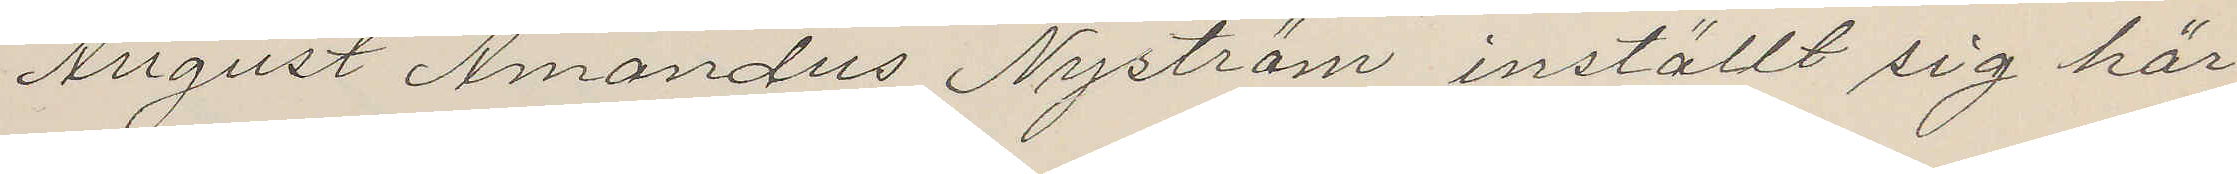August Amandus Nyström inställt sig här
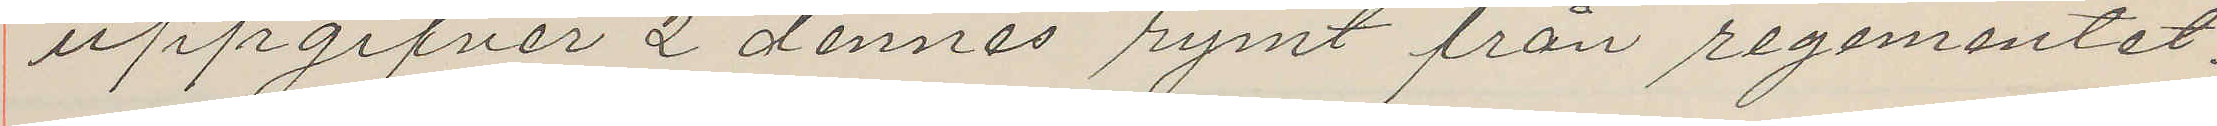uppgifver 2 dennes rymt från regementet.
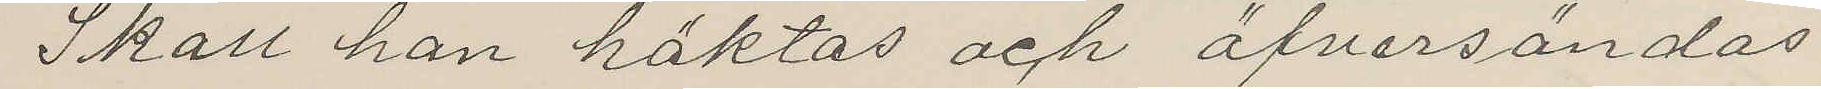Skall han häktas och öfversändas
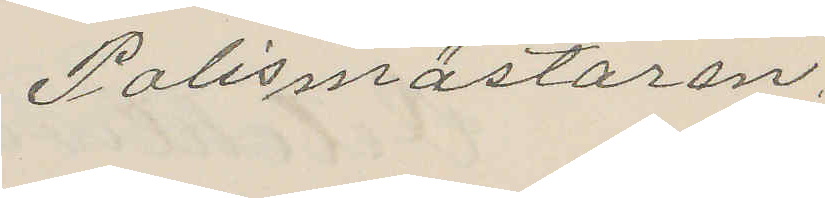Polismästaren.
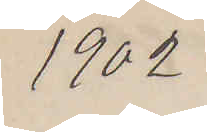1902
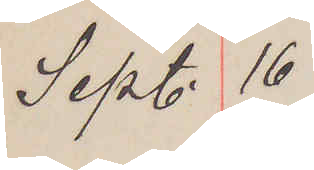Sept. 16
